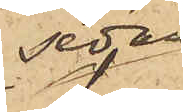sedan
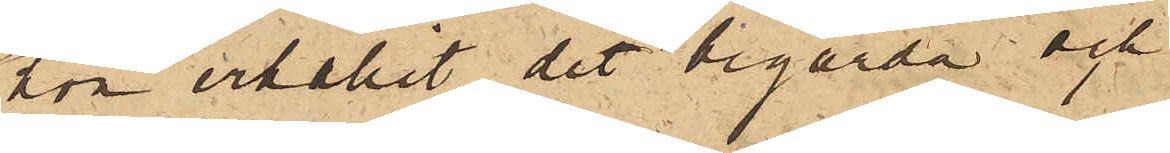hon erhållit det begärda och
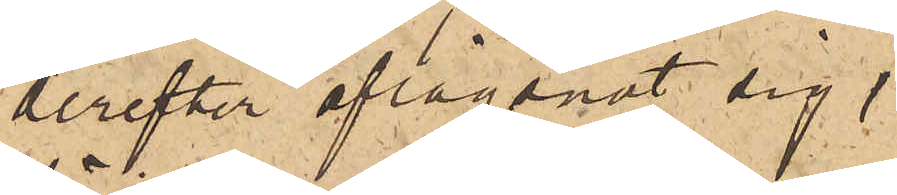derefter aflägsnat sig,
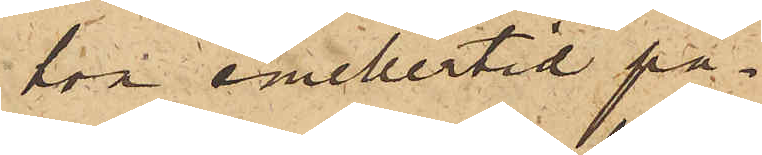hon emellertid på¬
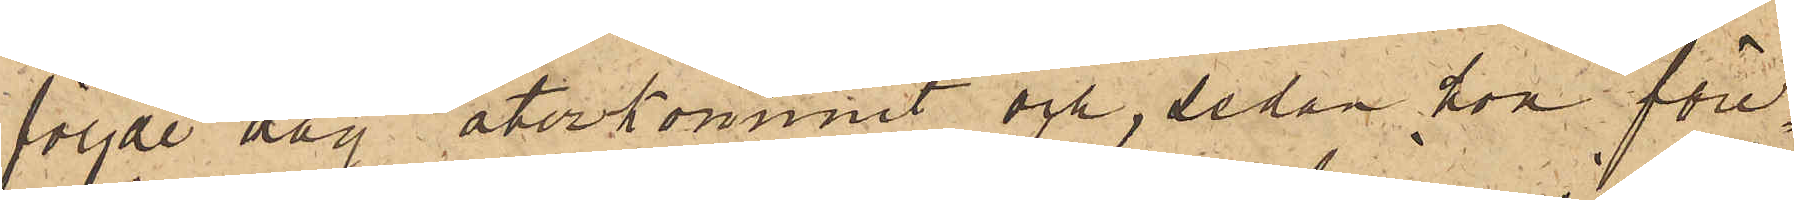följde dag återkommit och, sedan hon före¬
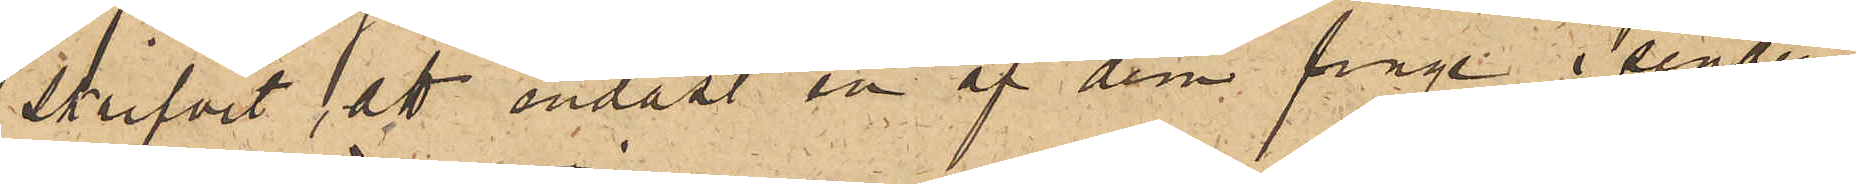skrifvit att endast en af dem finge i sender
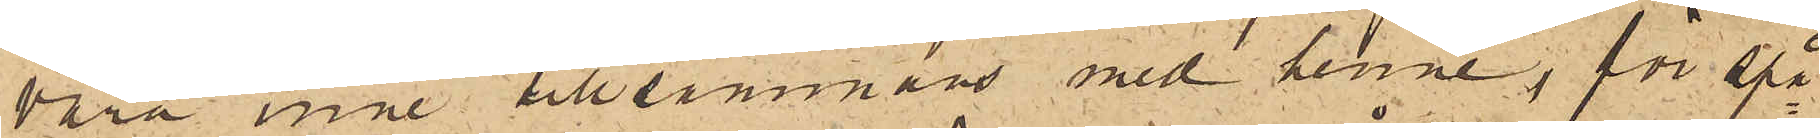vara inne tillsammans med henne, för spå¬
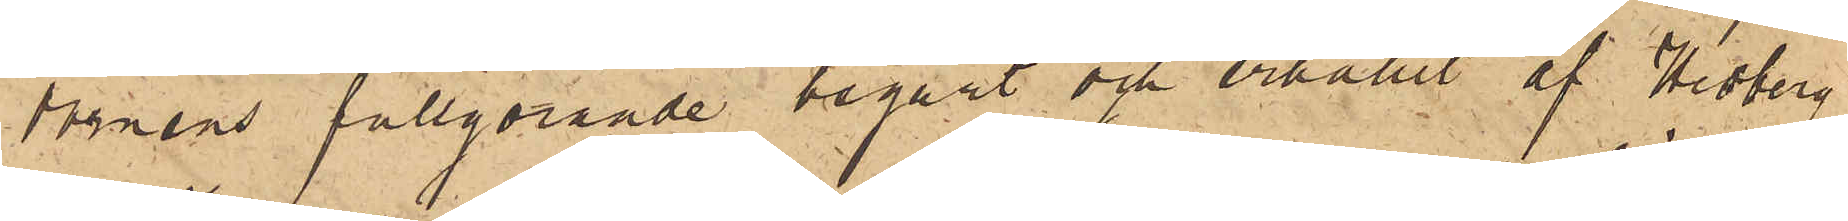domens fullgörande begärt och erhållit af Hedberg
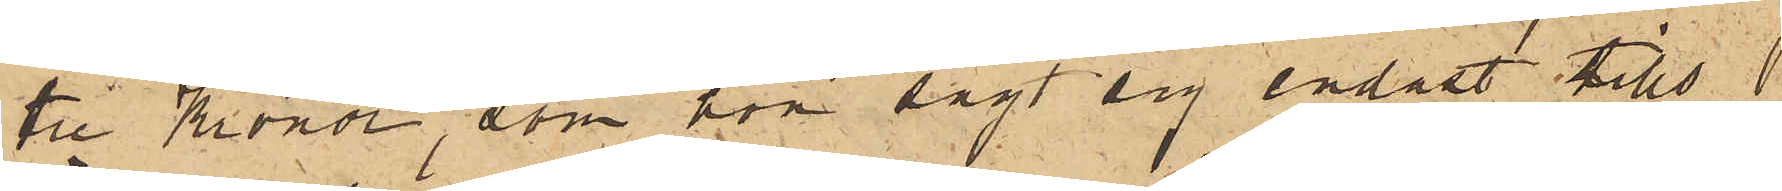tre Kronor, som hon sagt sig endast tills
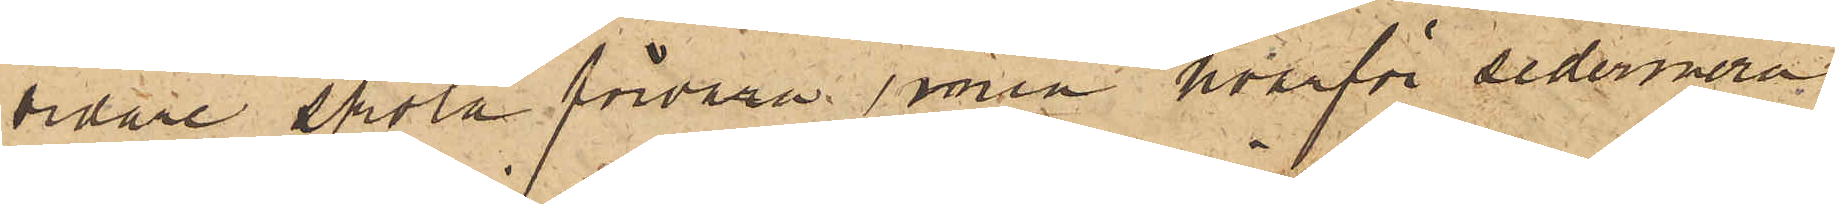vidare skola förvara, men hvarför sedermera
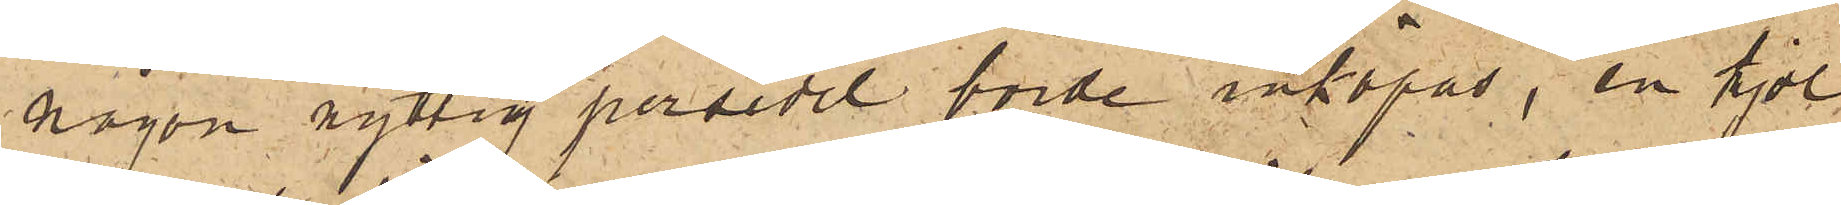någon nyttig persedel borde inköpas, en kjol
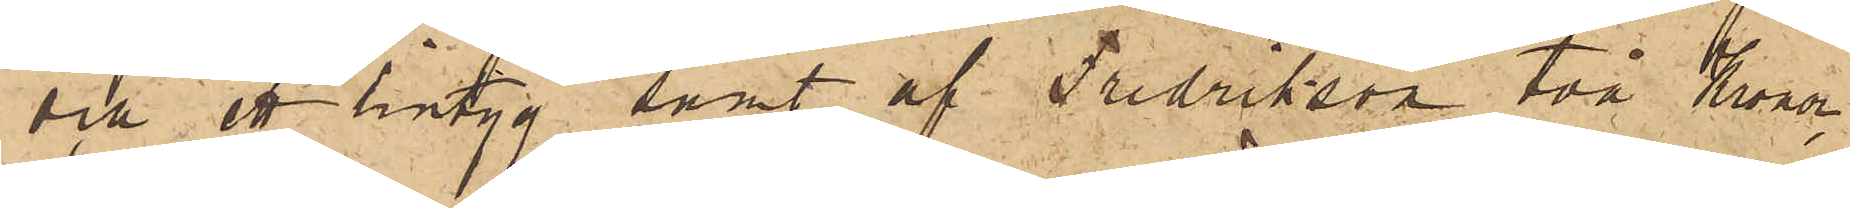och ett lintyg samt af Fredrikson två Kronor,
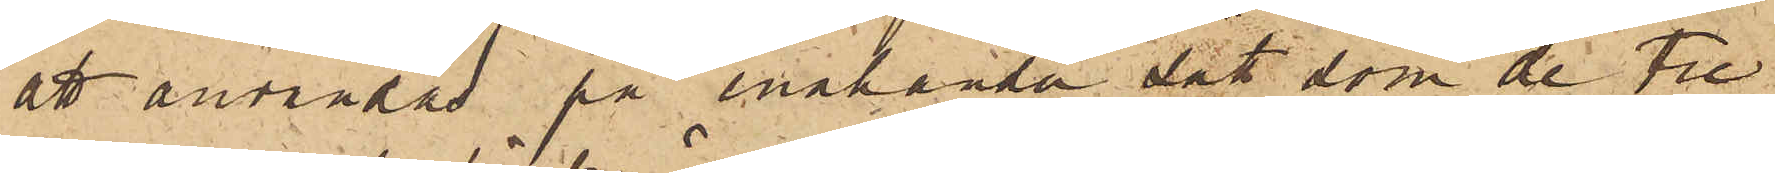att användas på enahanda sätt som de tre
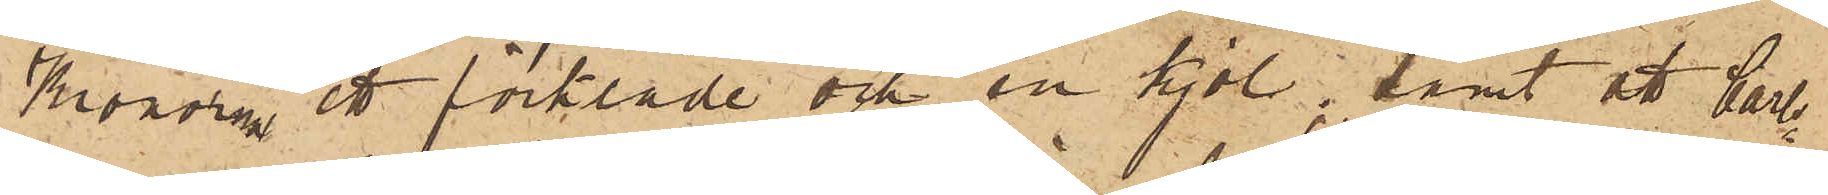Kronorna, ett förkläde och en kjol; samt att Carl¬
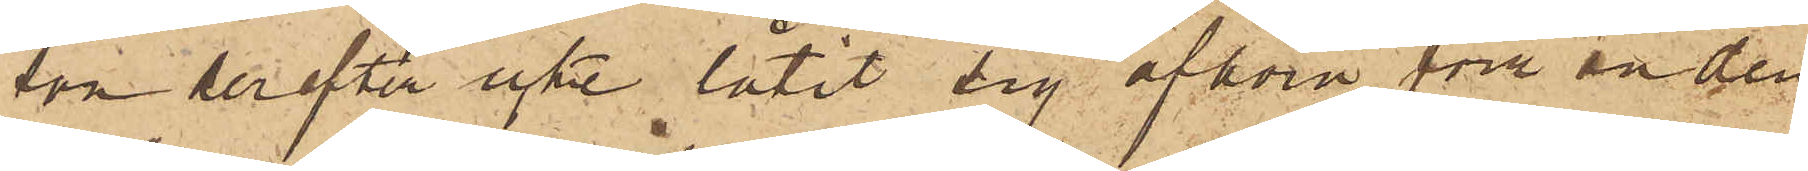son derefter icke låtit sig afhöra förrän den
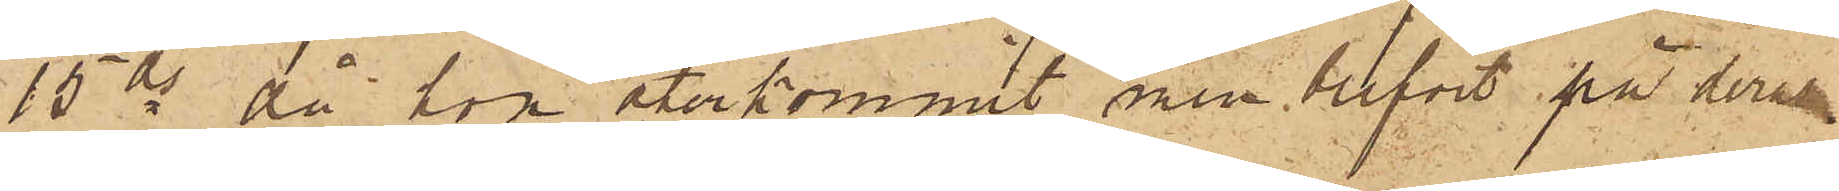15 ds då hon återkommit, men blifvit på deras
